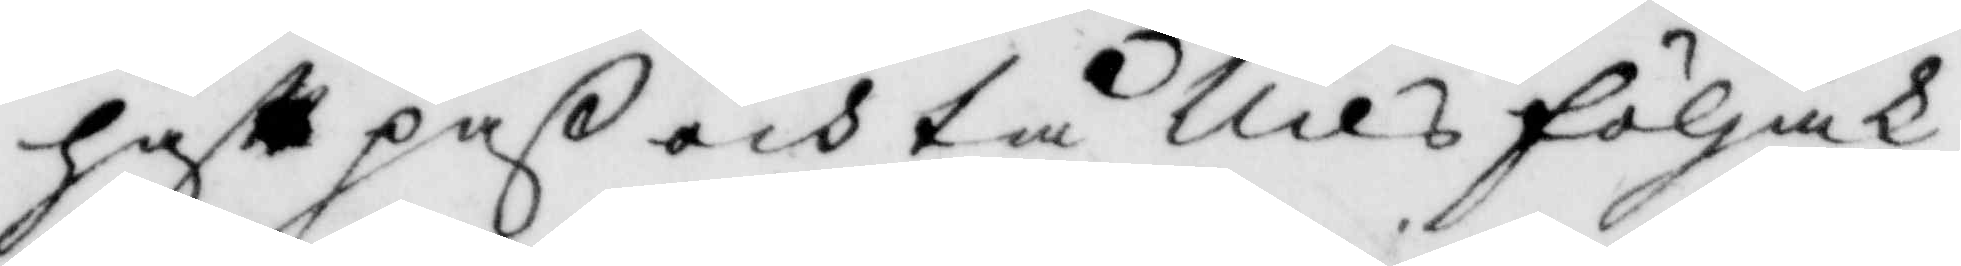haft paß och tå Nils följak¬
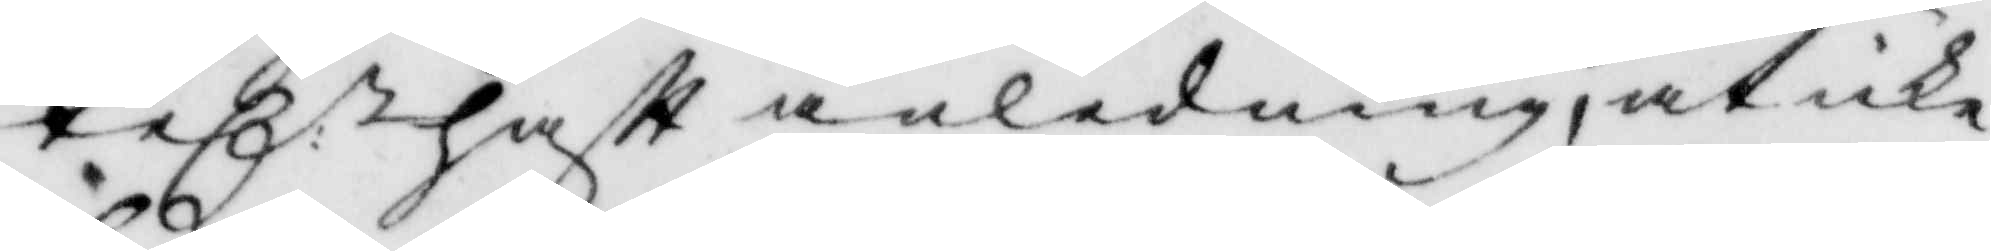tel. haftt anledning, at icke
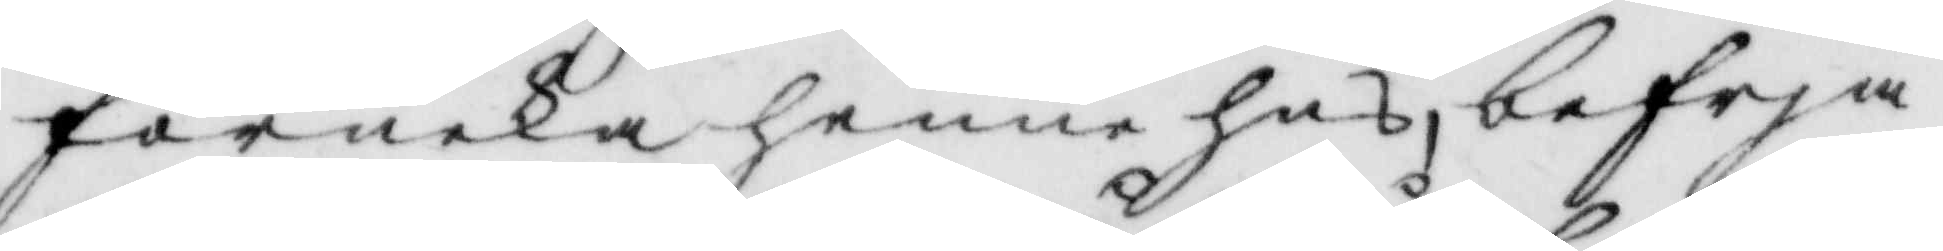förneka henne hus, befrja
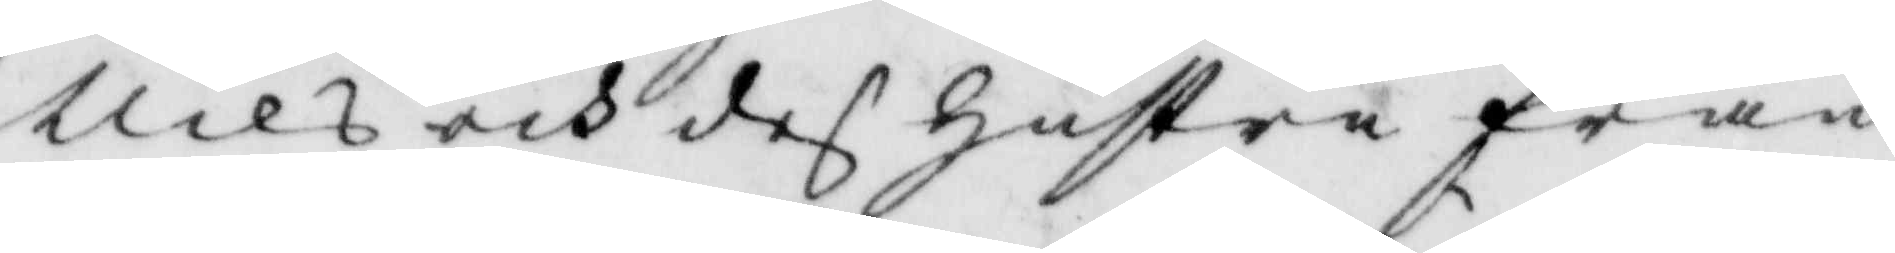Nils och des hustru från
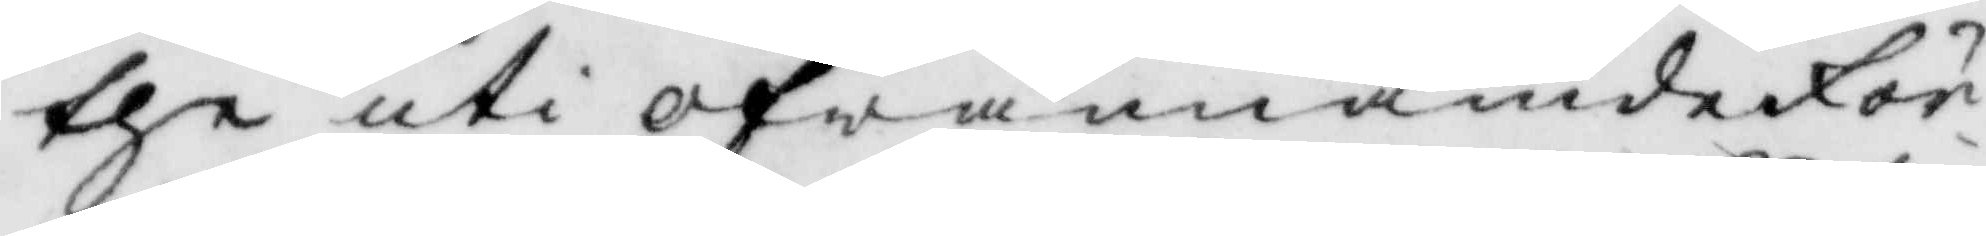the uti ofwannämde för¬
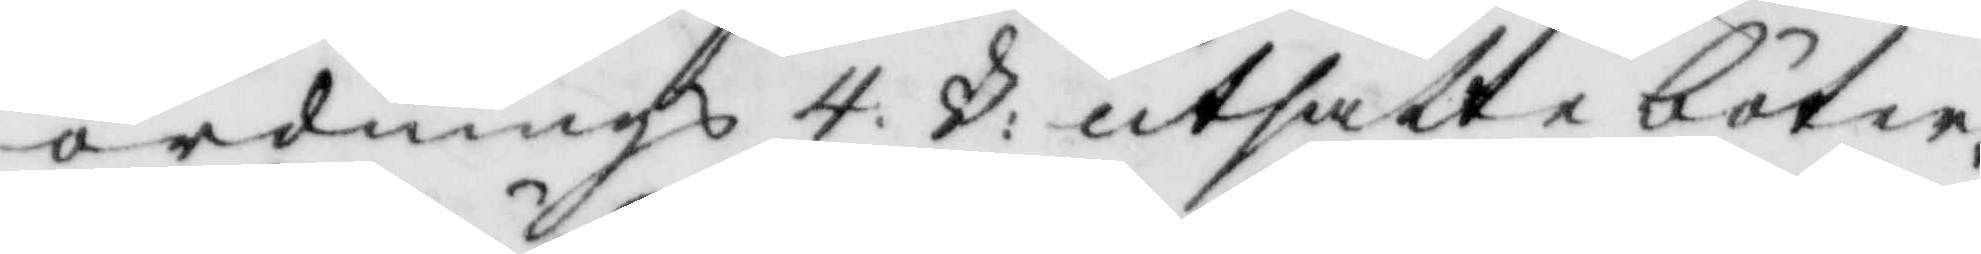ordnings 4 §: utsatte böter.
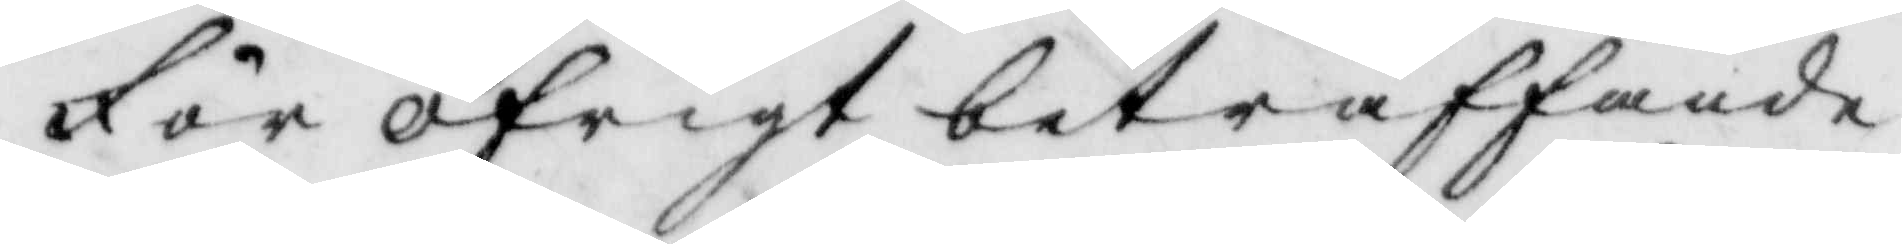För öfrigt beträffande
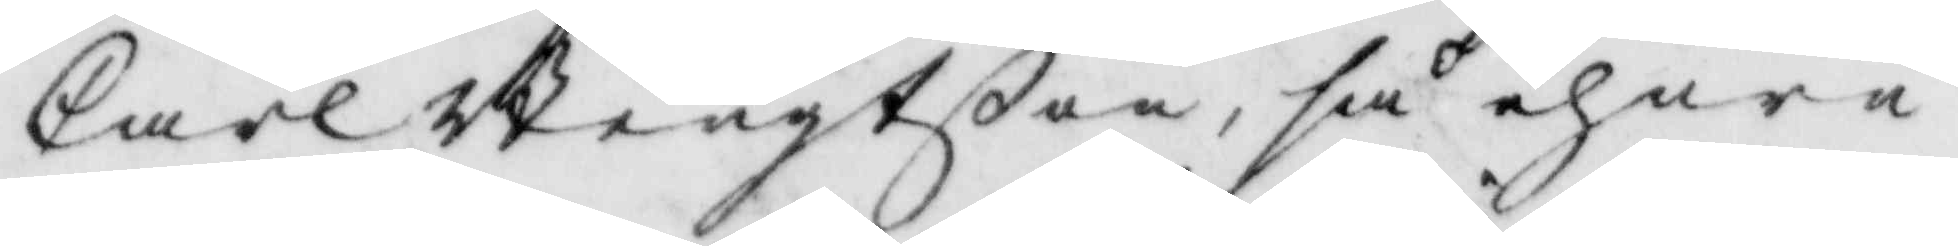Carl Bengtßon, så ehuru
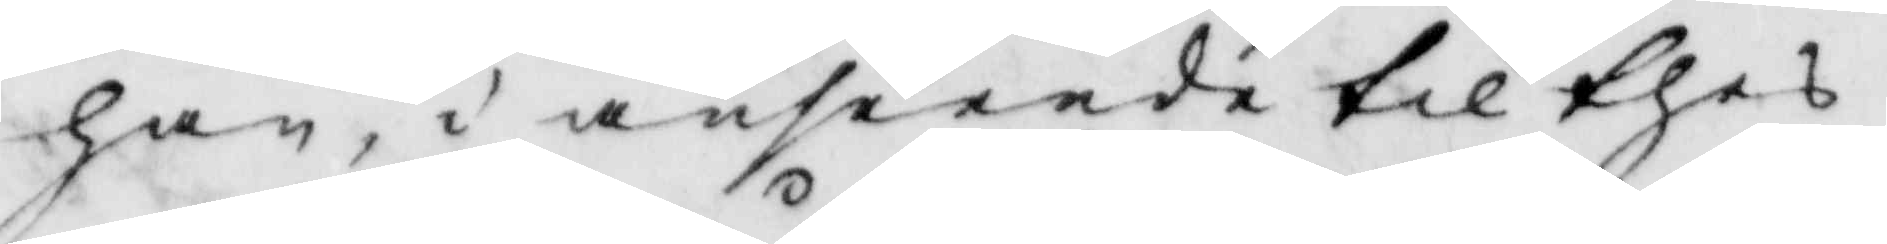han, i anseende till thes
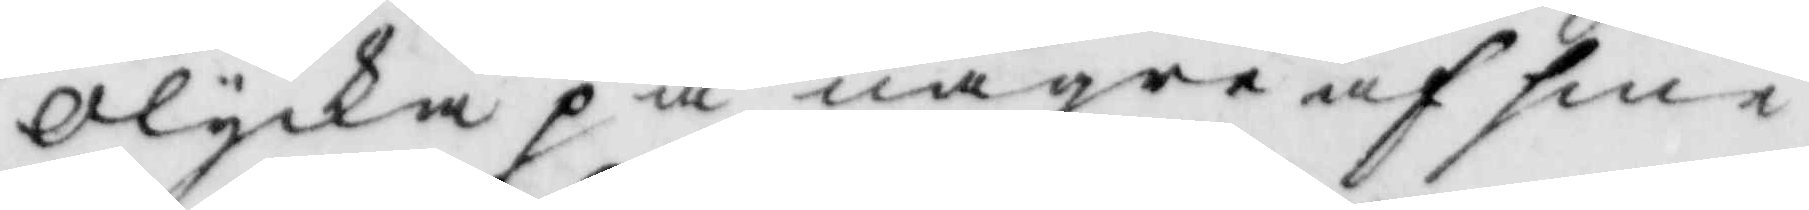olycka på någre af sine
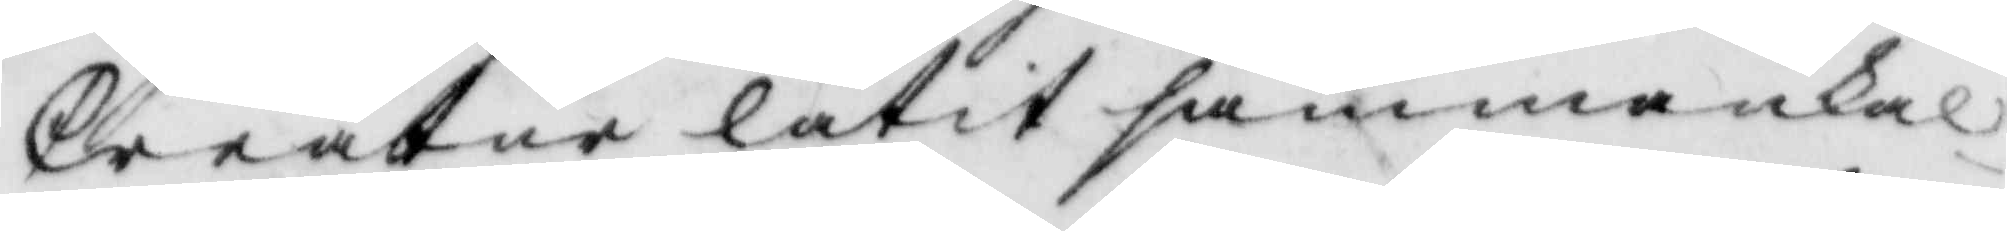Creatur, låtit sammanka¬
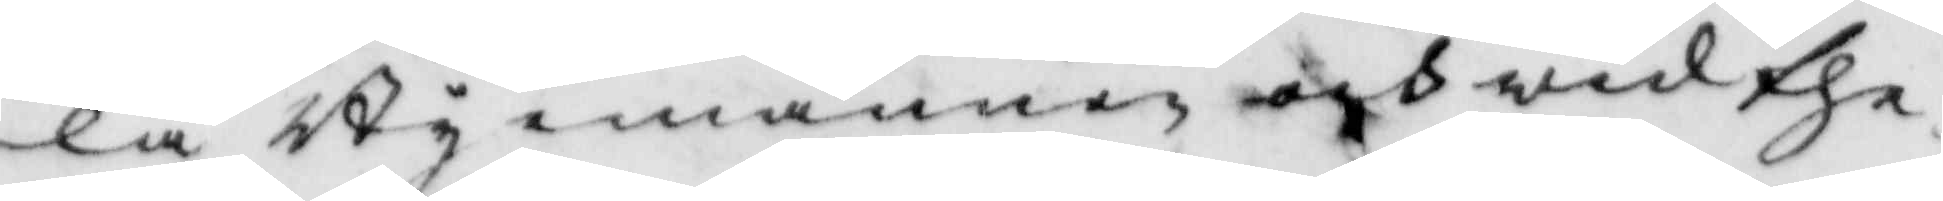la Byemännen och wid the¬
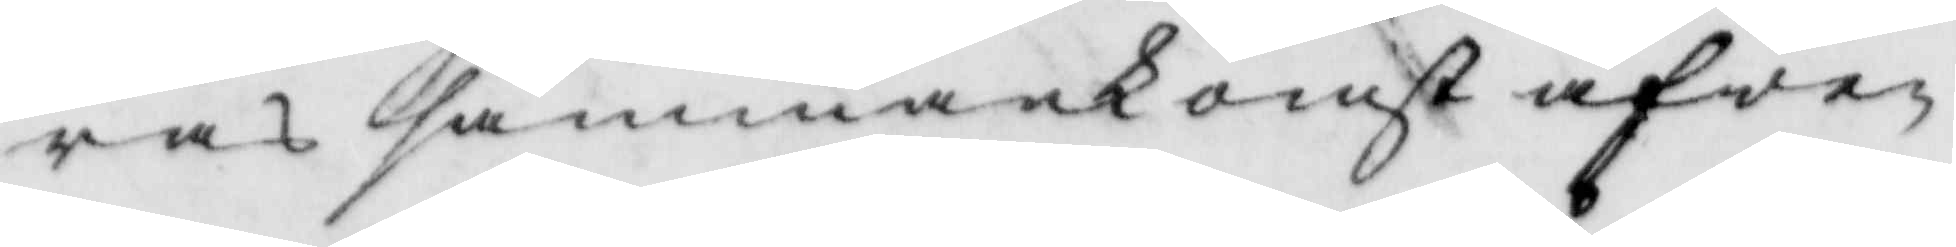ras sammankomst äfwen
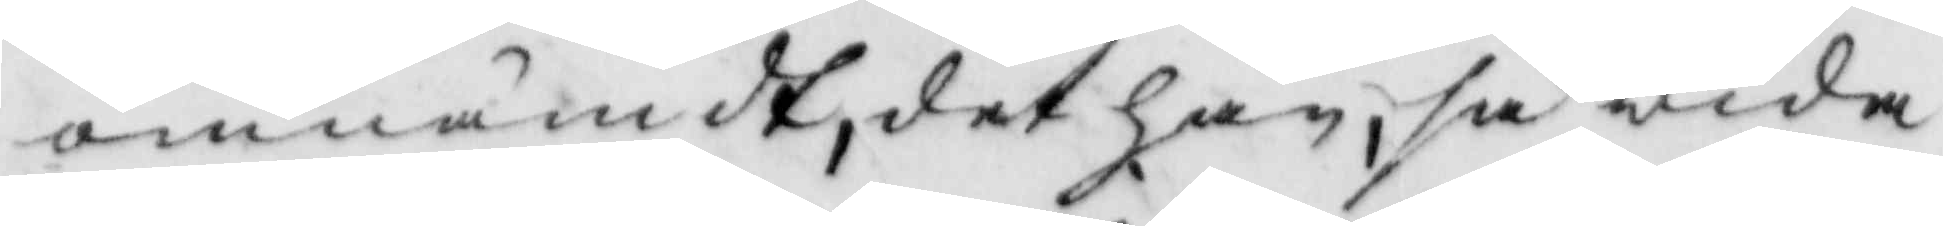omnämdt, det han, så wida
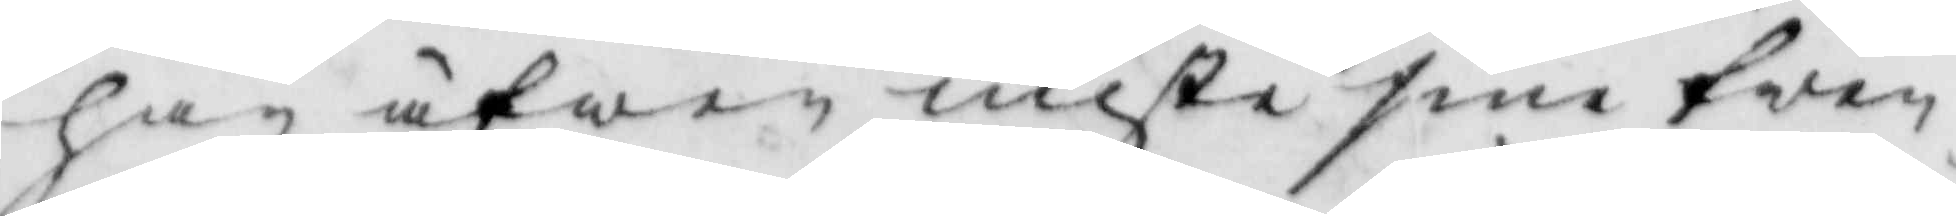han äfwen miste sine twen¬
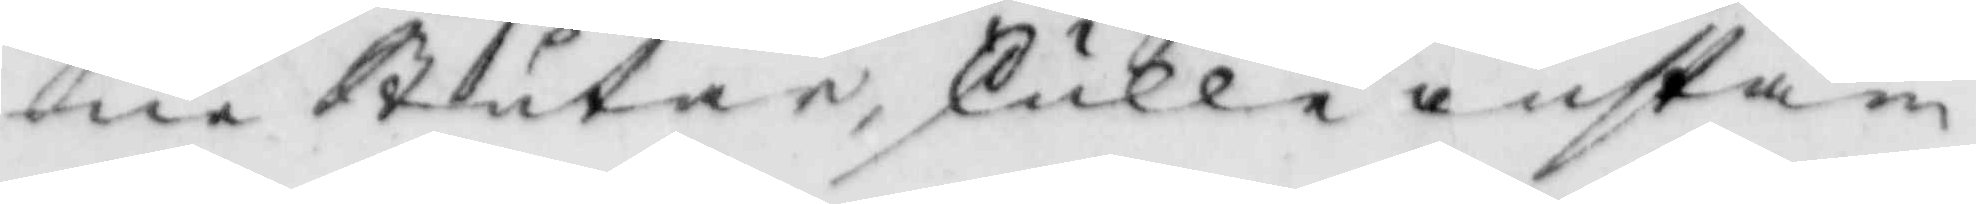ne Stutar, skulle instäm¬
